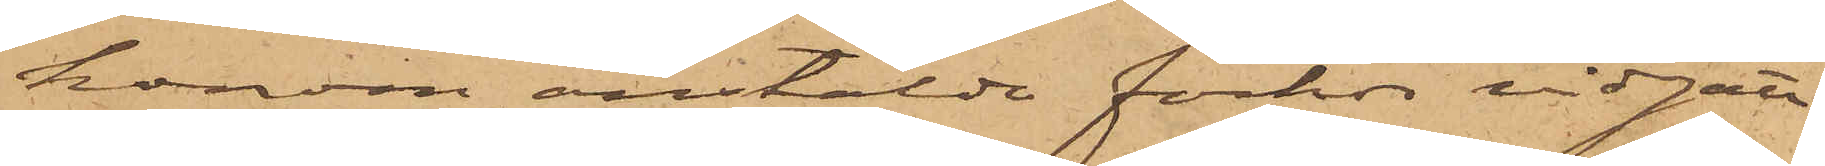honom anstälde förhör vidgått
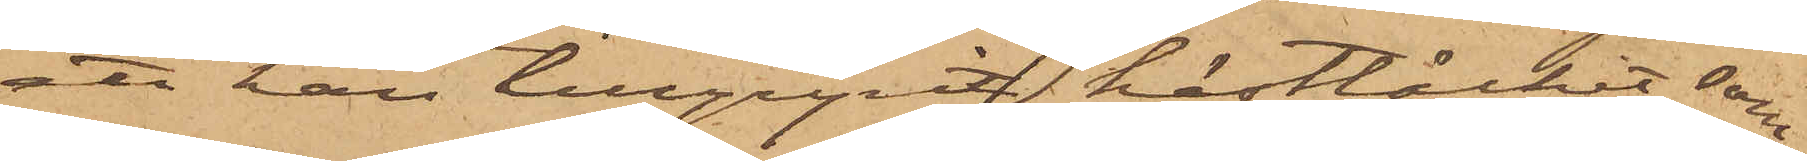att han tillgripit hästtäcket, som
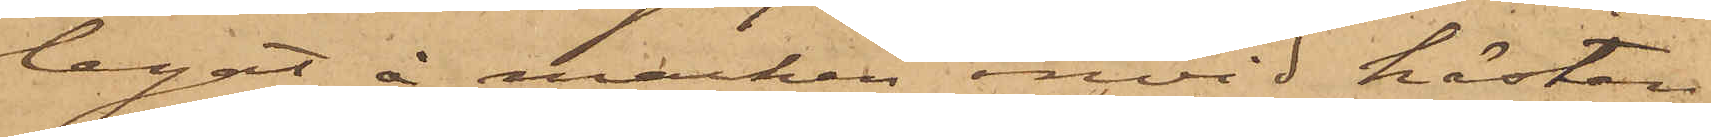legat å marken invid hästen.
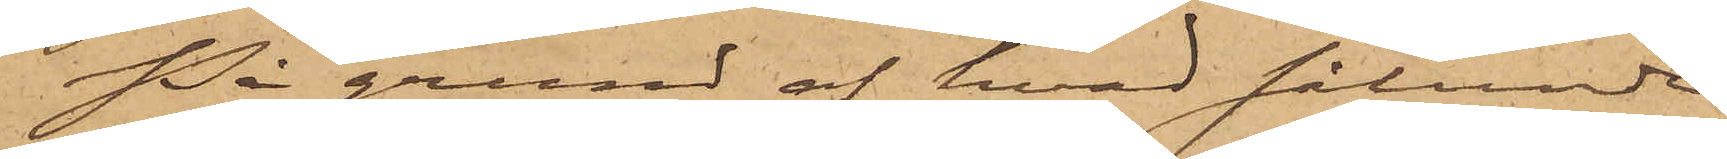På grund af hvad sålunda
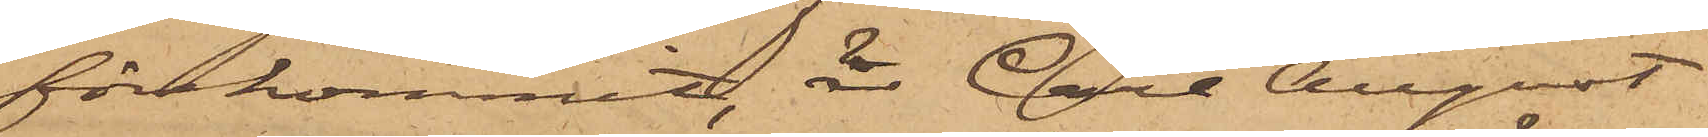förekommit, är Carl August
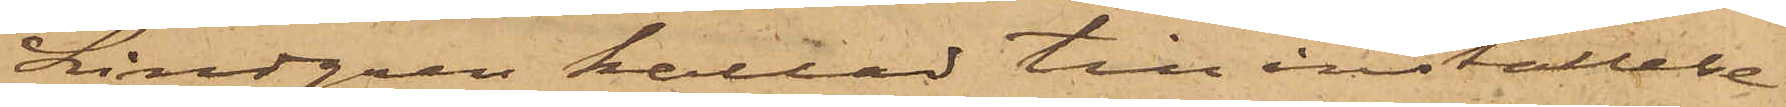Lindgren kallad till inställelse
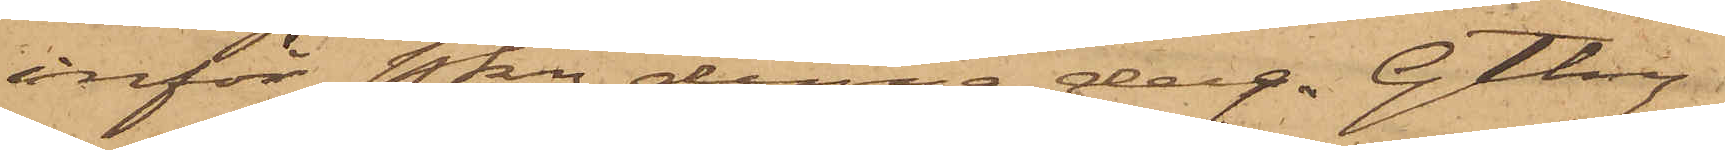inför Pkn denna dag. Gtbg
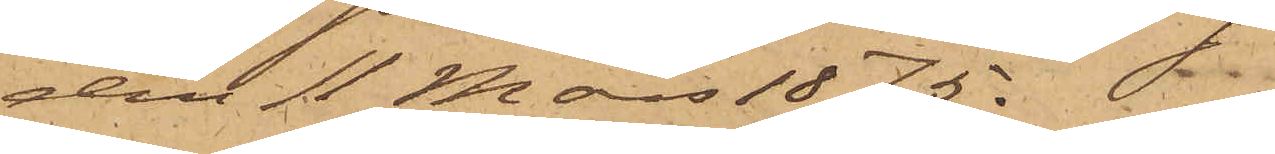den 11 Mars 1875.
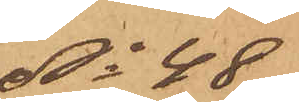No 48
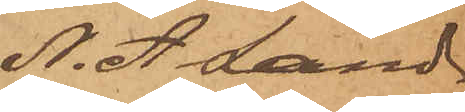N. A Land¬
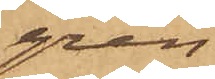gren
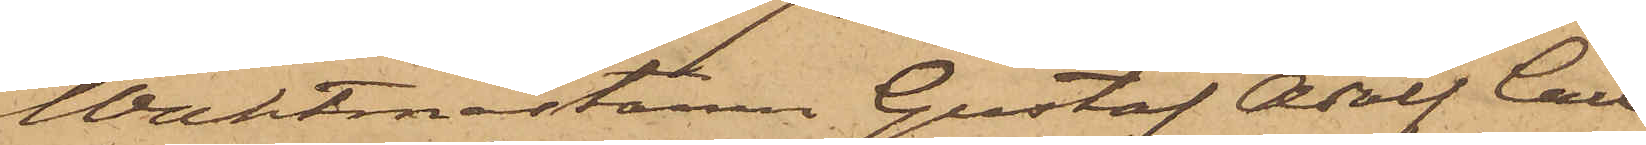Waktmästaren Gustaf Adolf Carl¬
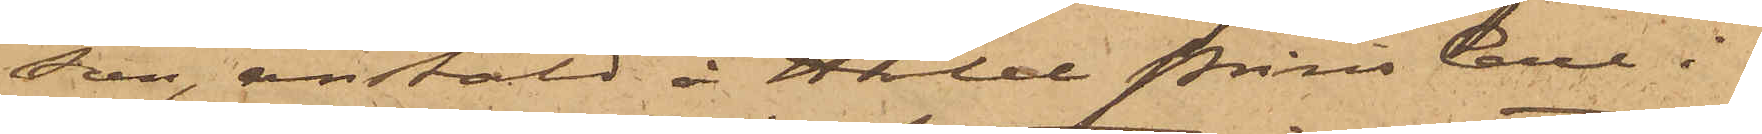son, anstäld å Hotel Prins Carl i
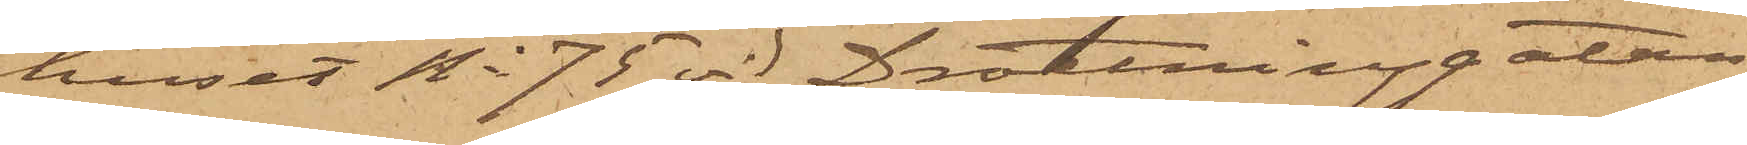huset No 75 vid Drottninggatan,
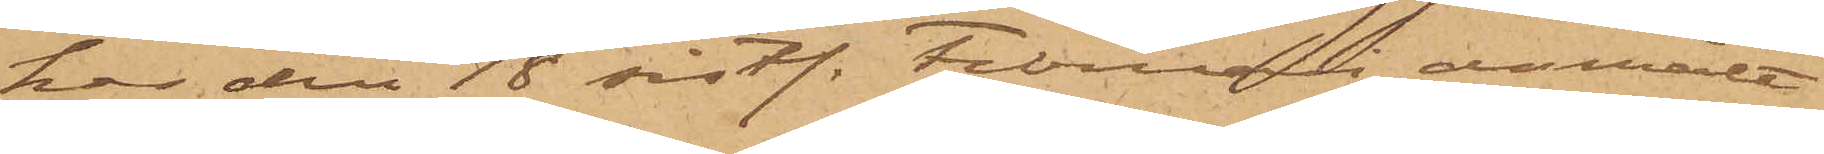har den 18 sistl. Februari anmält
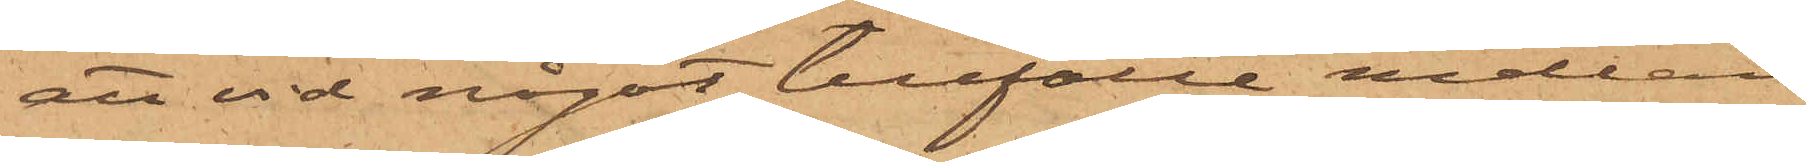att vid något tillfälle mellan
